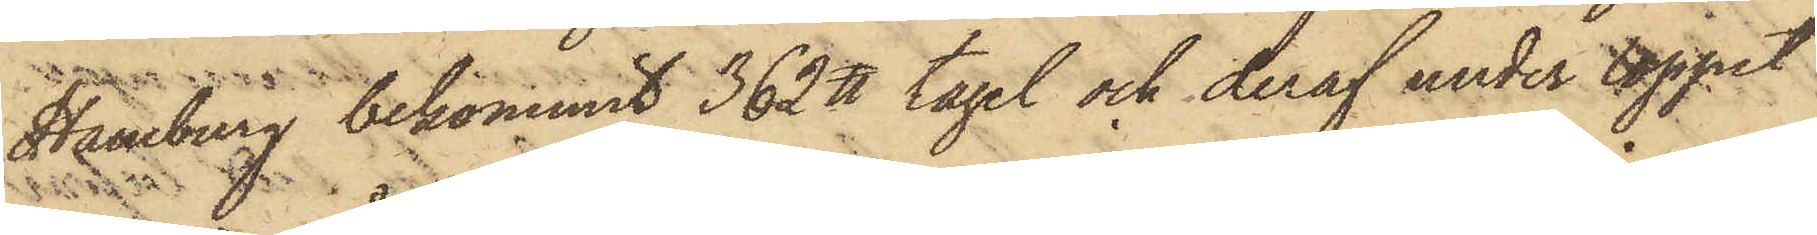Hamburg bekommit 362 ℔ tagel och deraf under loppet
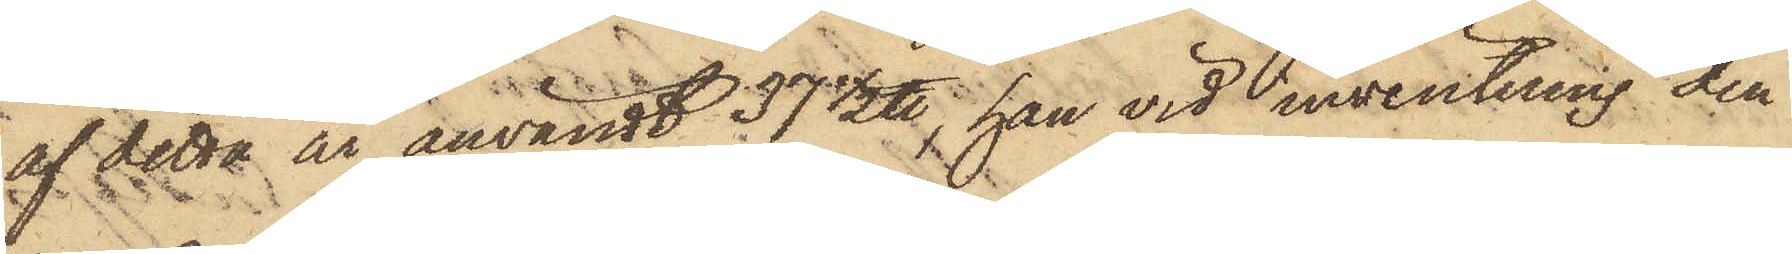af detta är användt 37 1/2 ℔, han vid inventering den
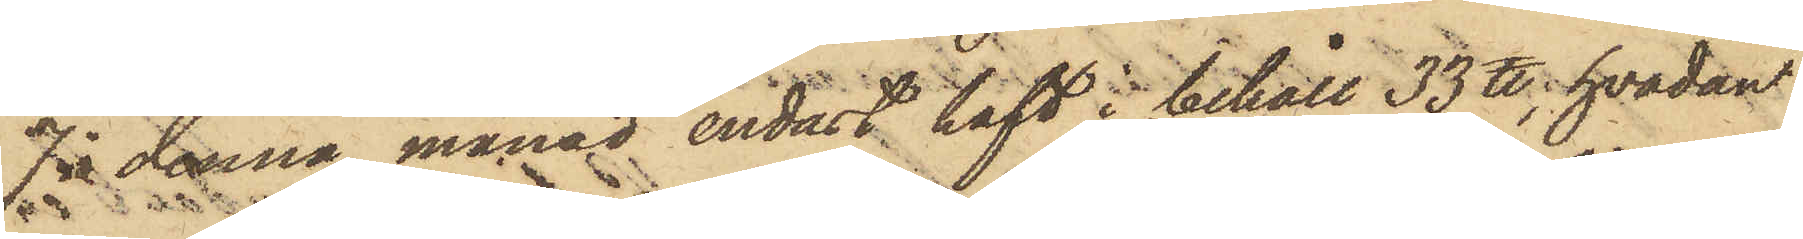7 i denna månad endast haft i behåll 33 ℔, hvadan
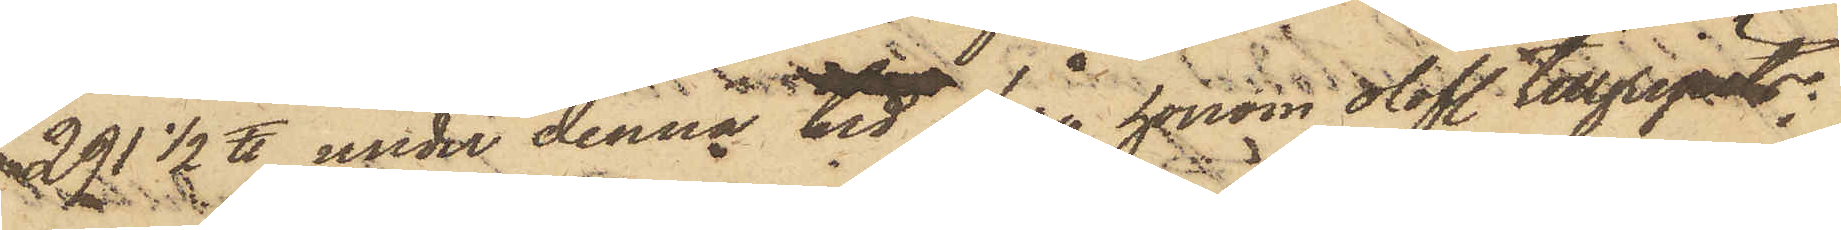291 1/2 ℔ under denna tid från honom olofl. tillgripits;
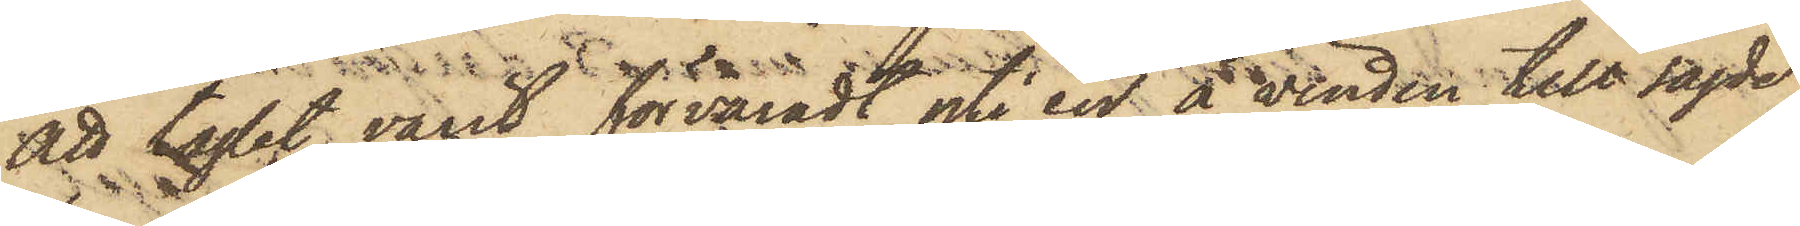att taglet varit förvaradt uti en å vinden till sagde
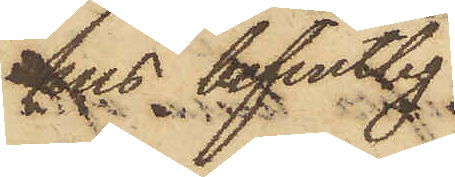hus befintlig
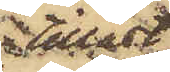tillåst
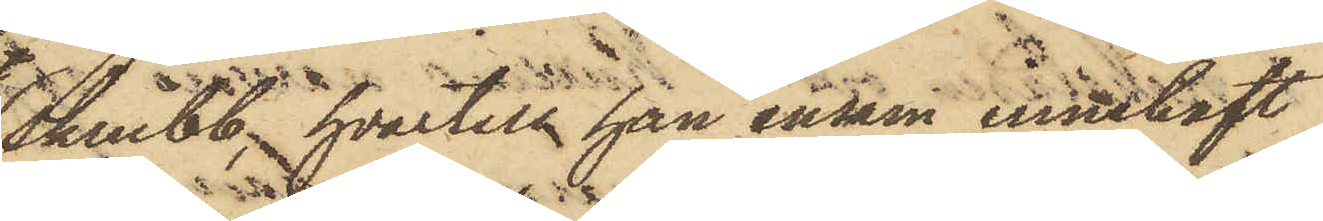skrubb, hvartill han ensam innehaft
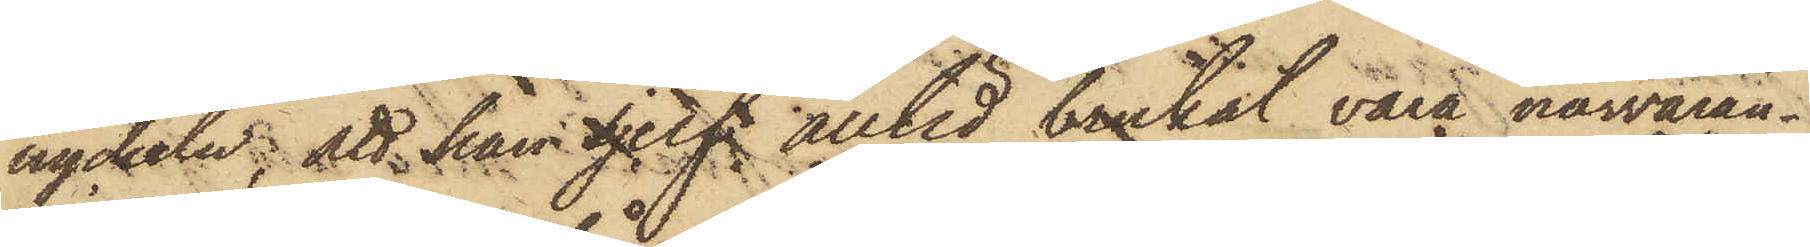nyckeln; att han sjelf alltid brukat vara närvaran¬
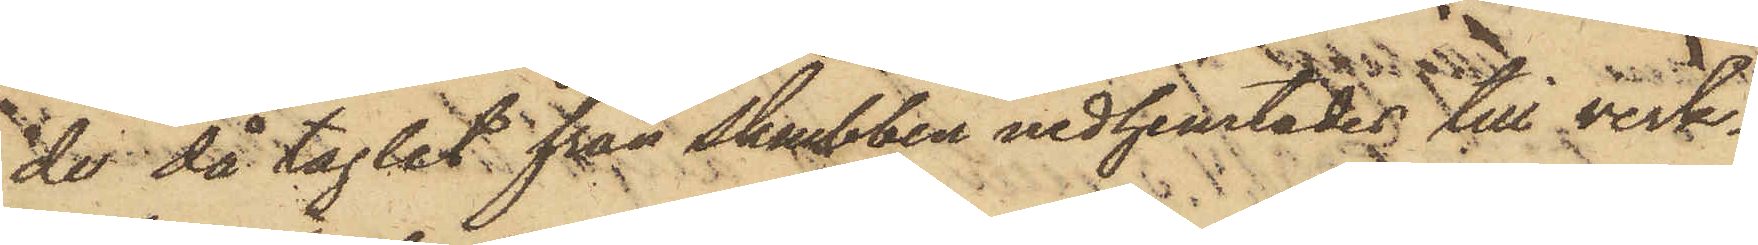de då taglet från skubben nedhemtades till verk¬
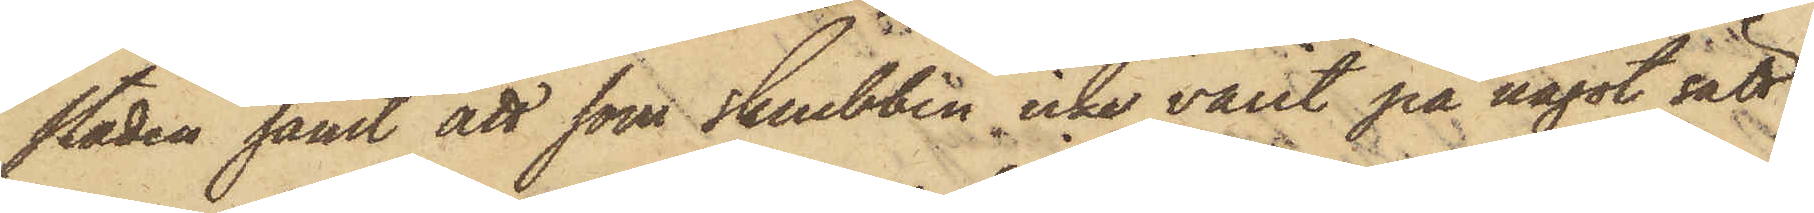staden samt att som skrubben icke varit på något sätt
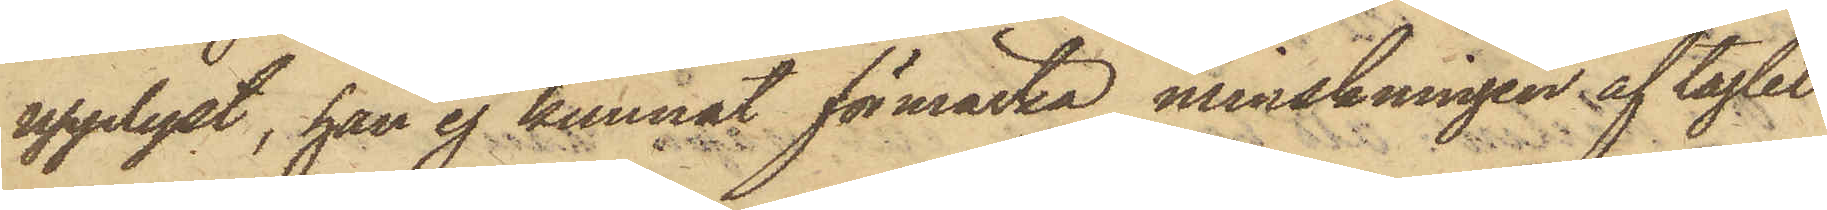upplyst, han ej kunnat förmärka minskningen af taglet
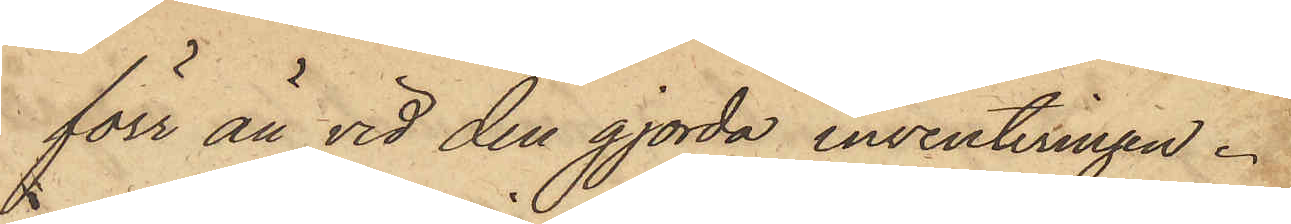förr än vid den gjorda inventeringen.
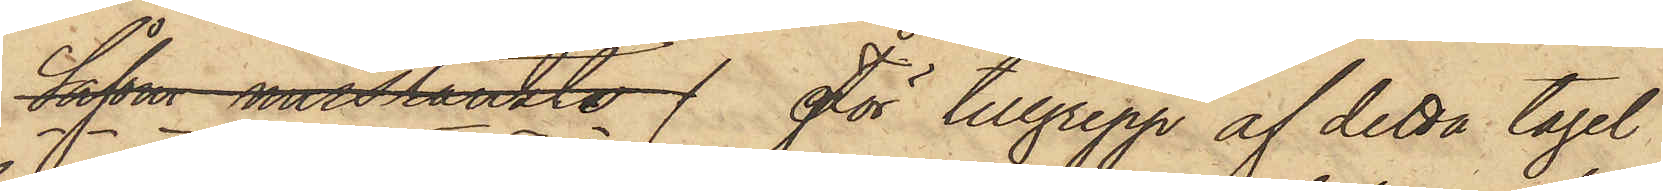Såsom misstänkte För tillgrepp af detta tagel
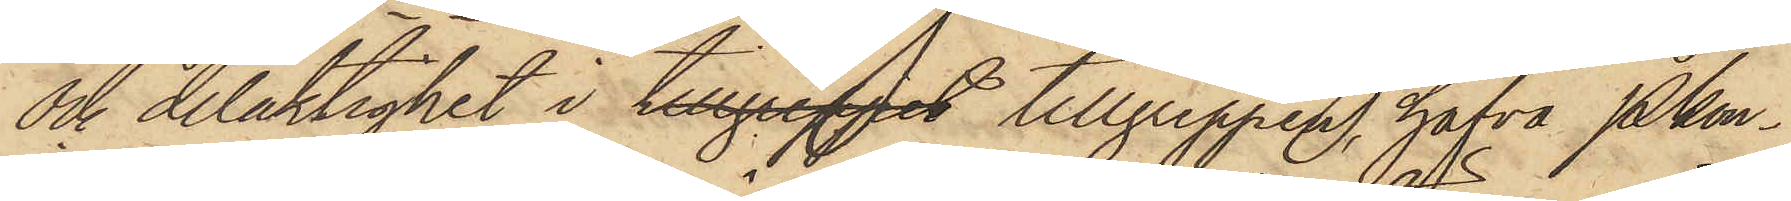och delaktighet i tillgreppet tillgreppen, hafva Pkon¬
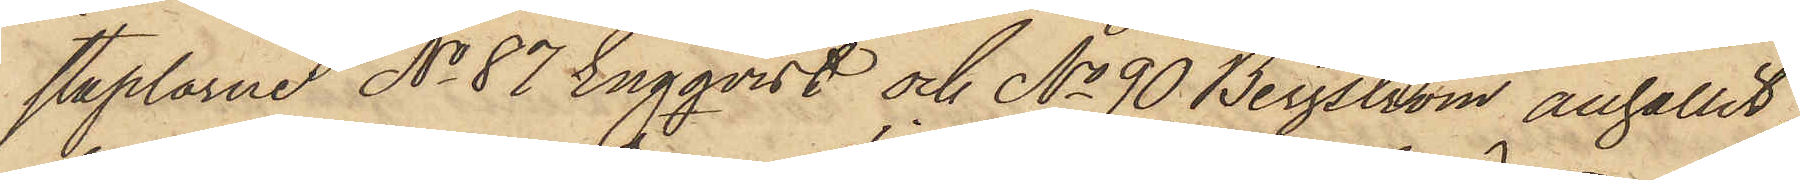staplarne No 87 Engqvist och No 90 Bergström anhållit
